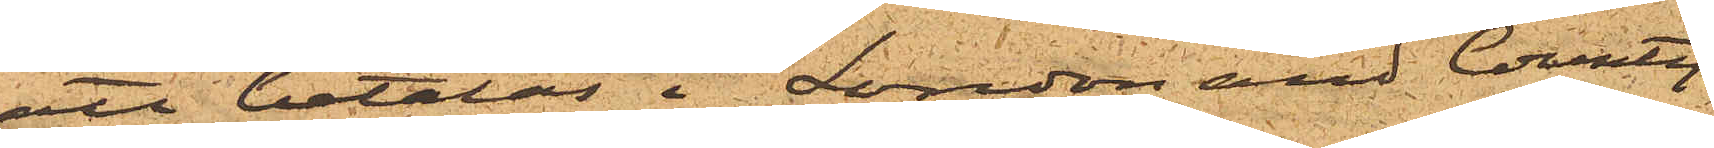att betalas i "London and County
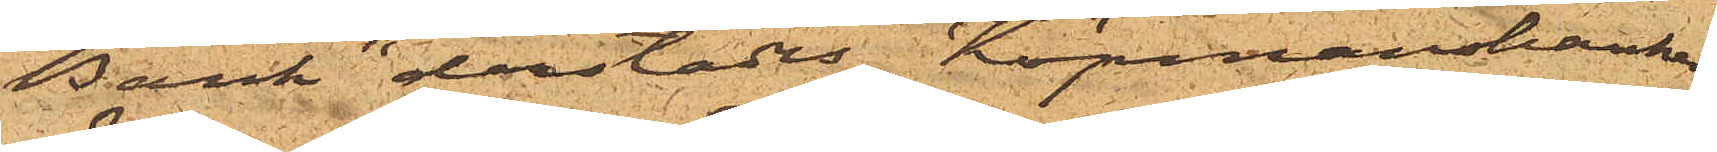Bank" derstädes, Köpmansbanken
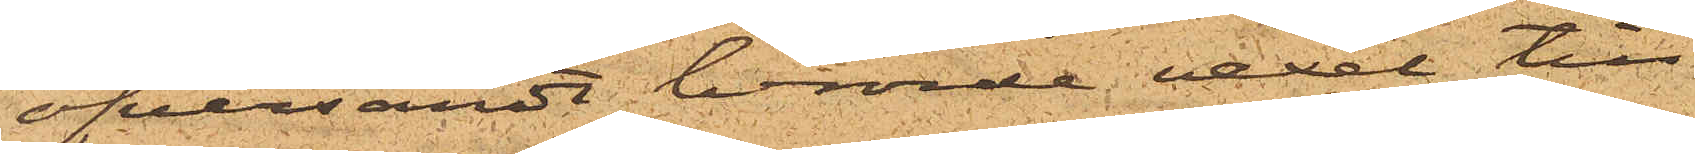öfversändt berörde vexel till
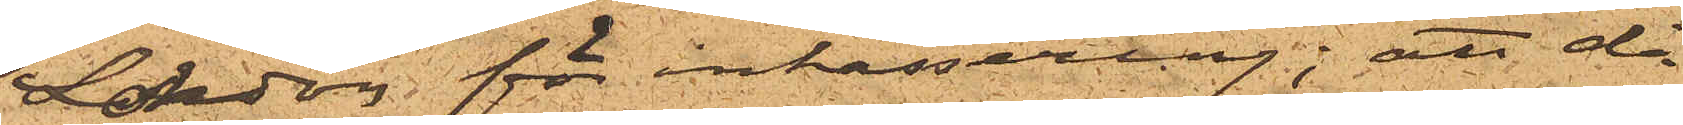London för inkassering; att då
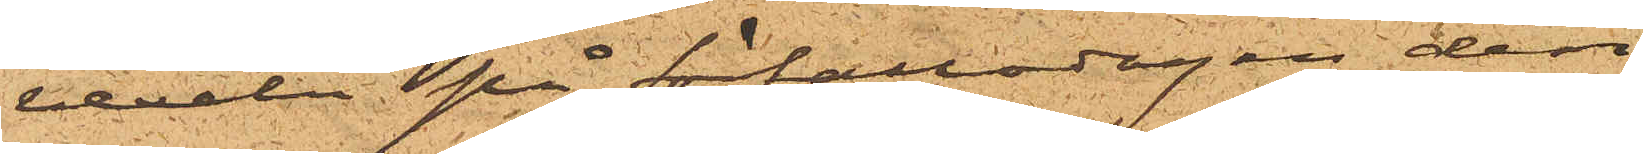vexeln på förfallodagen den
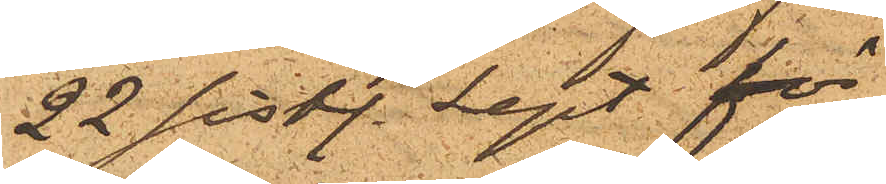22 sist. Sept. för
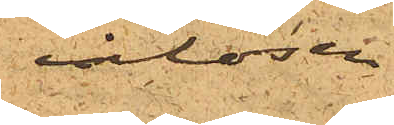inlösen
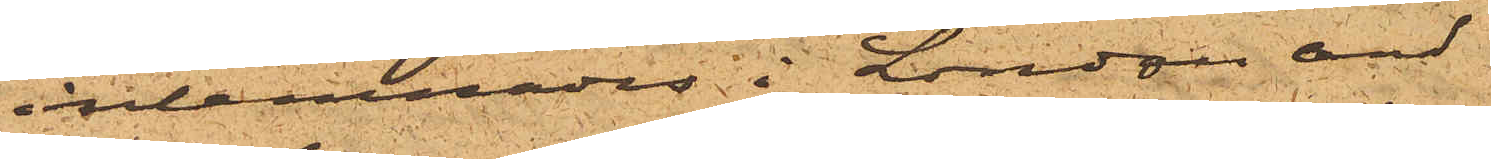inlemnades i London and
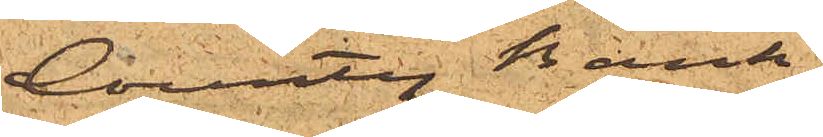County Bank,
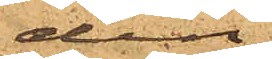den
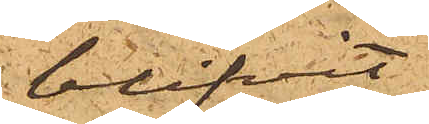blifvit
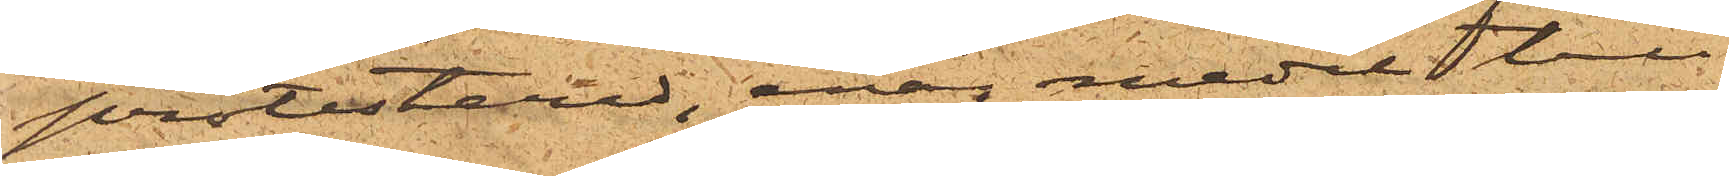protesterad, enär medel till
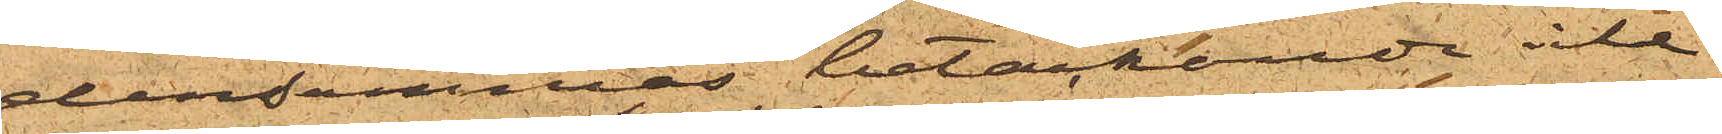densammas betäckande icke
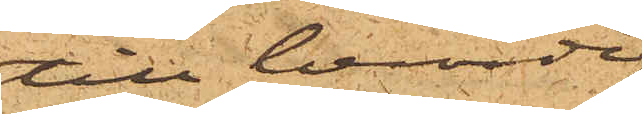till berörde
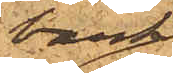bank
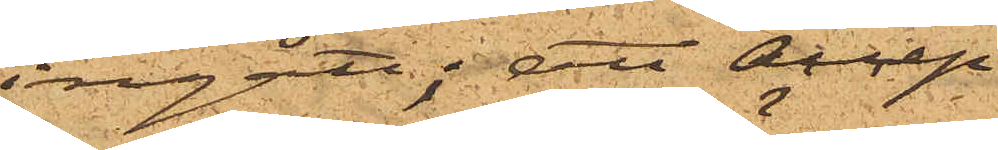ingått; att Accep¬
